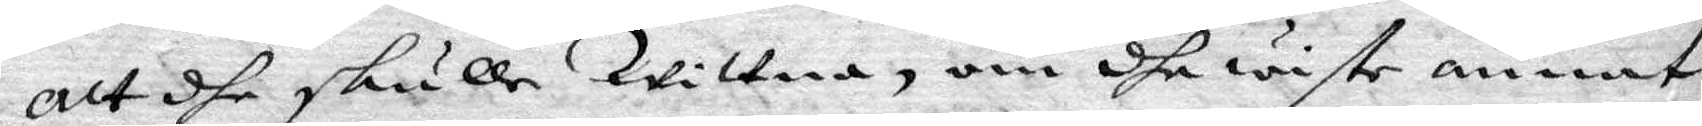att dhe skulle Wittna, om dhe wiste annat,
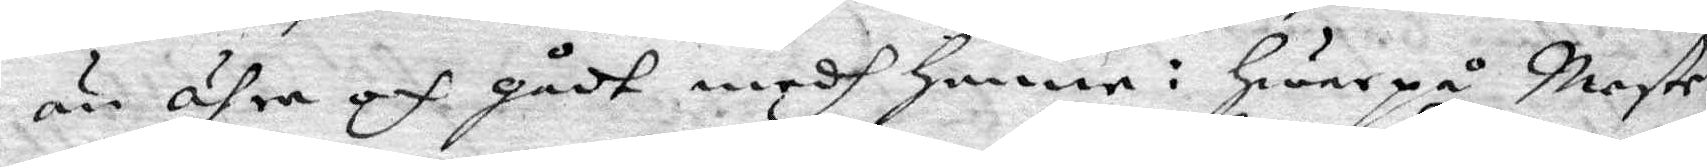än ähra och gådt medh henne: hwar på Mester
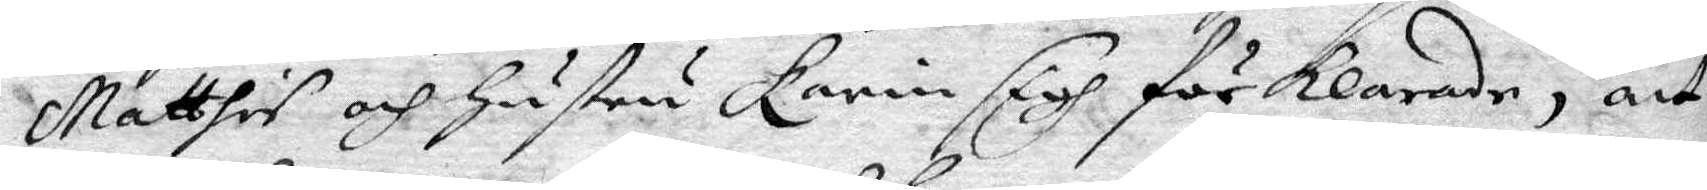Matthis och hustru Karin sigh förklarade, att
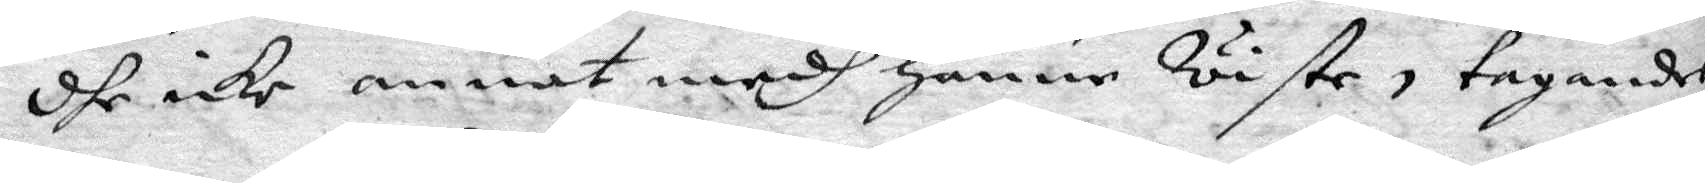dhe icke annat medh henne Wiste, tagandes
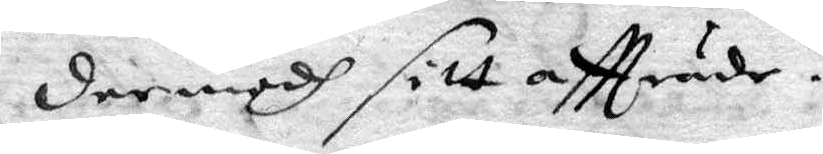dermedh sitt aftträde.
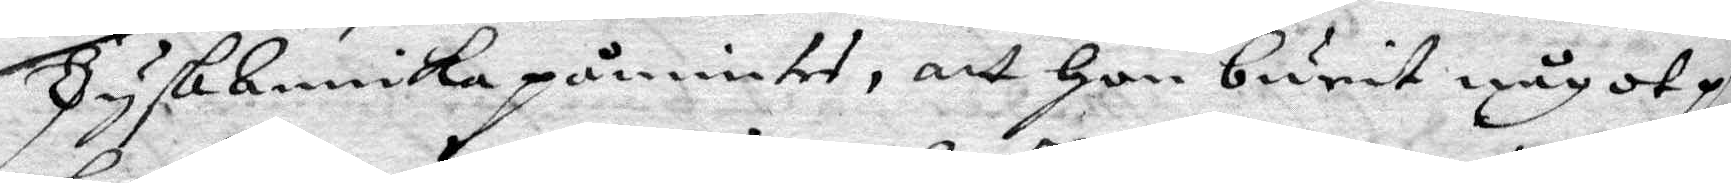TyskAnnika påmintes, att hon burit något på
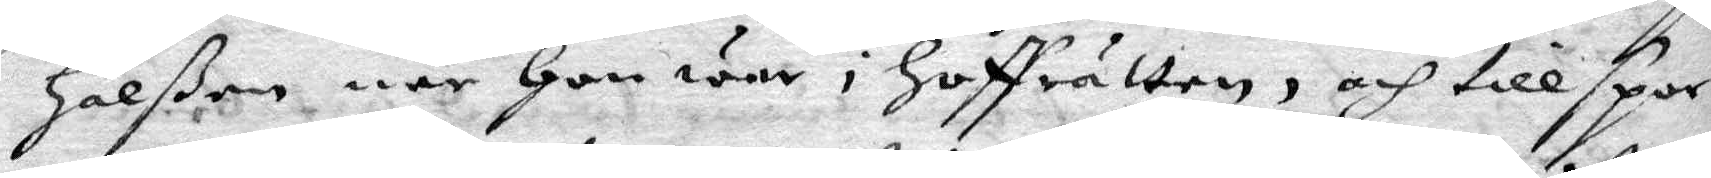halßen när hon war i hoffrätten, och tillspor¬
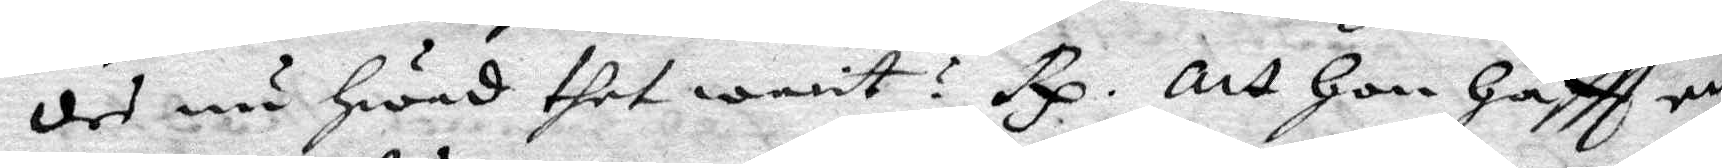des nu hwad thet warit? Rp. Att hon haftt en
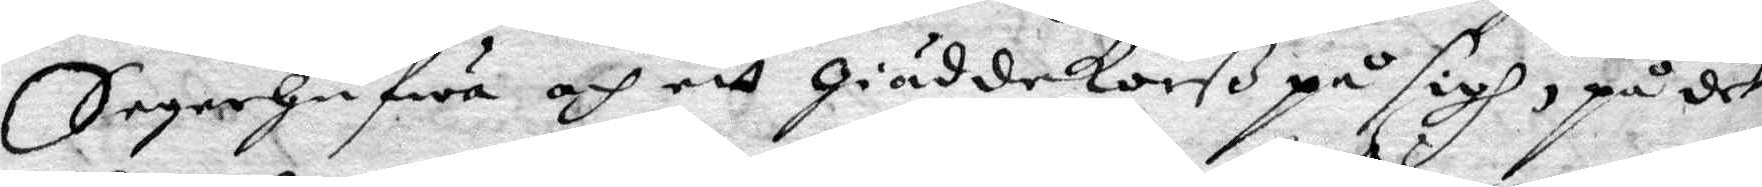Segerhufwa och ett giäddekorß på sigh, på det
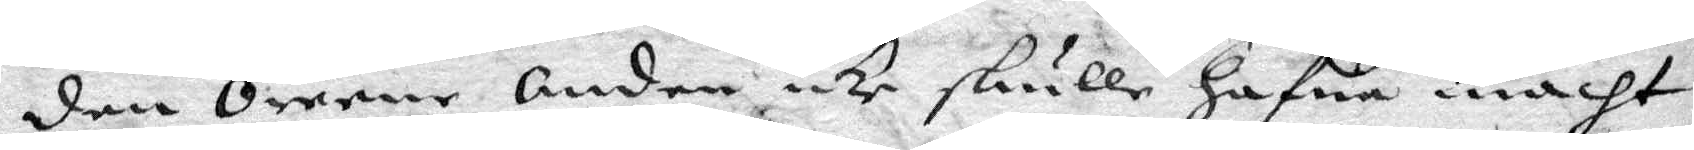den Orene Andes icke skulle hafwa macht
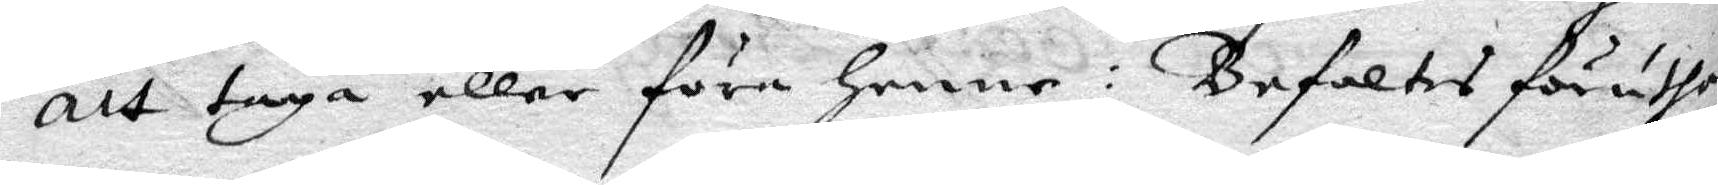att taga eller föra henne: Befaltes föruthan
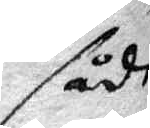sådan
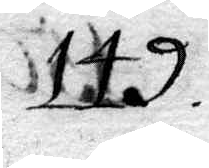149.
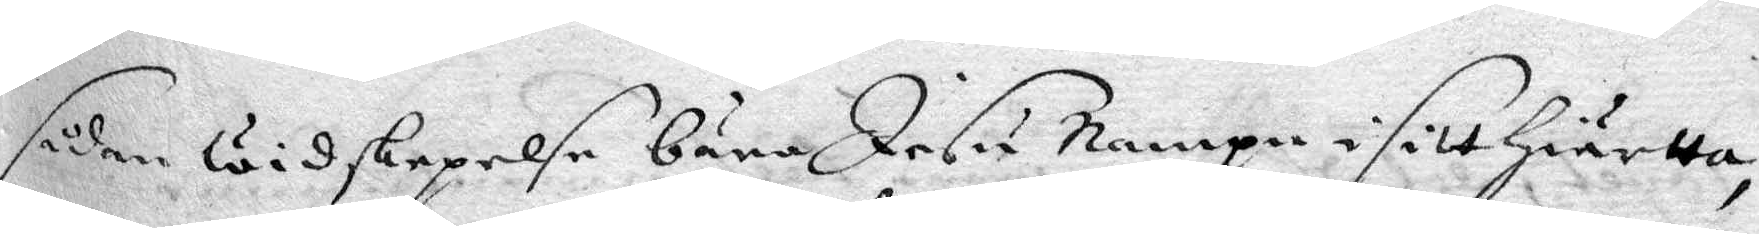sådan widskepelse bära Jesu Nampn i sitt Hiärtta,
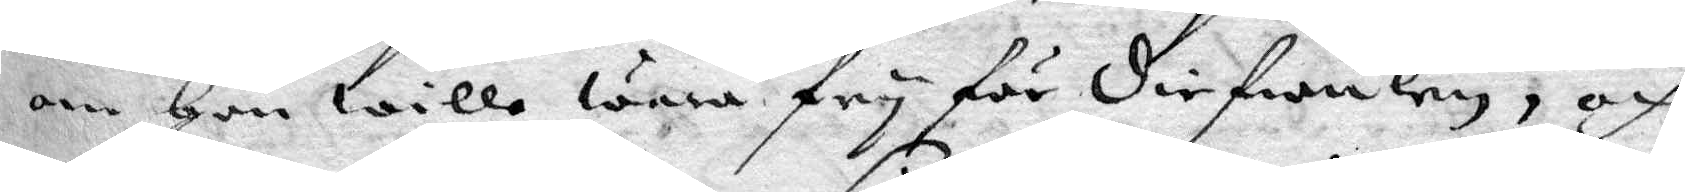om hon wille wara fry för diefwulen, och
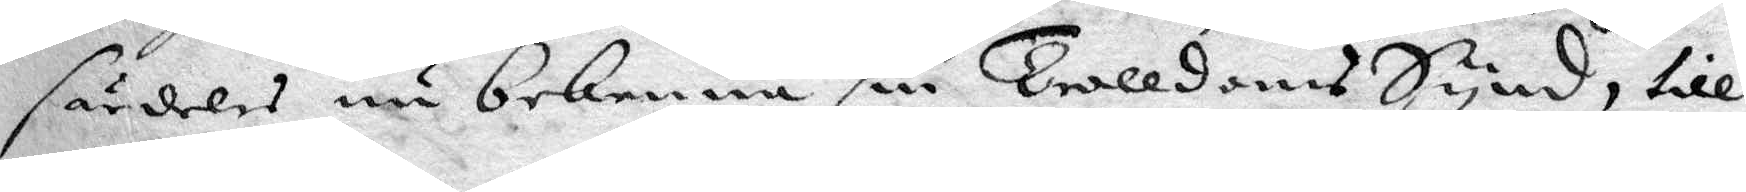således nu bekenna sin TrolldomsSynd, till
